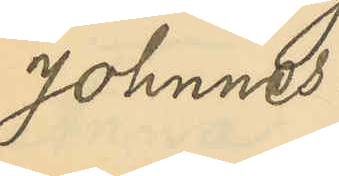Johnnes.
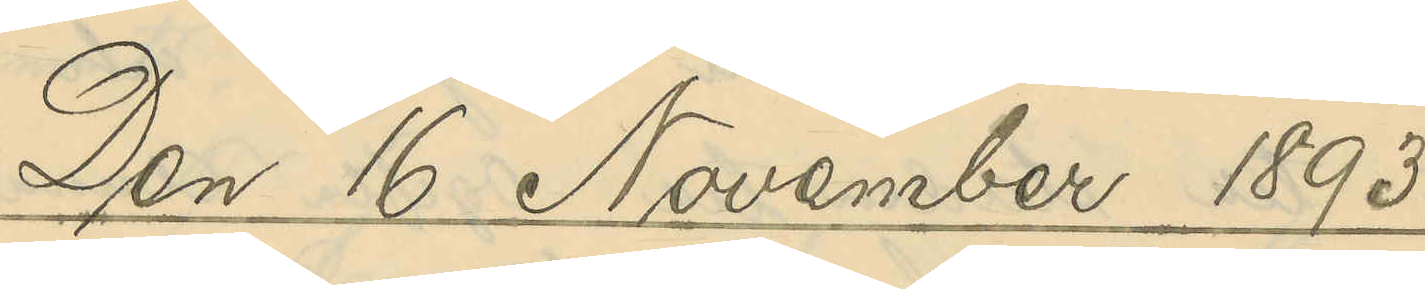Den 16 November 1893
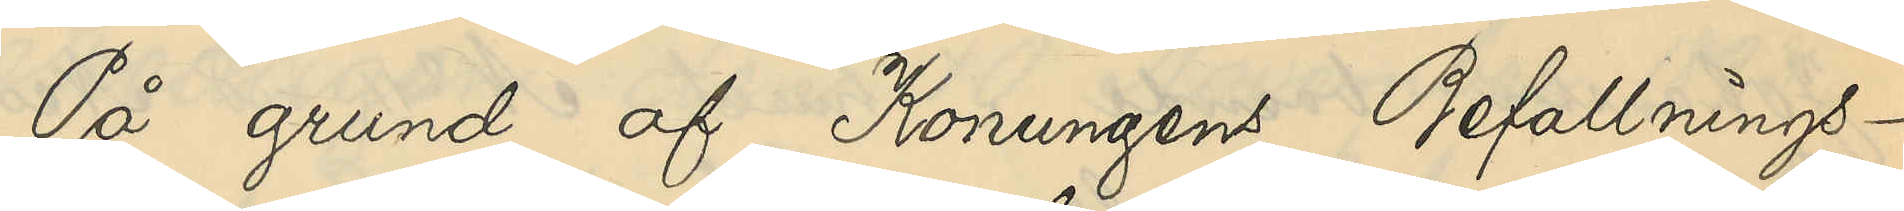På grund af Konungens Befallnings¬
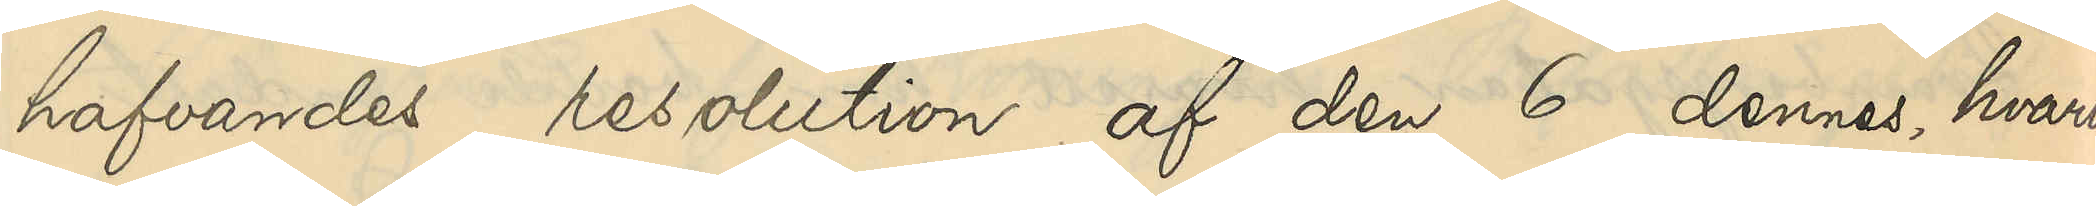hafvandes resolution af den 6 dennes, hvari¬
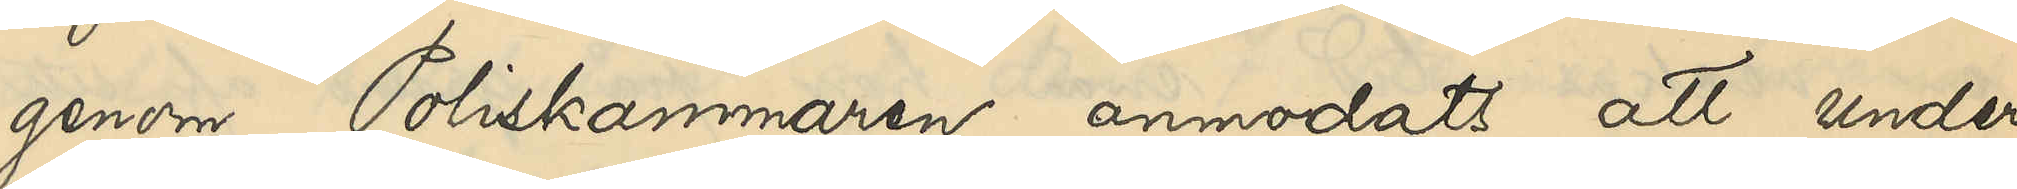genom Poliskammaren anmodats att under¬
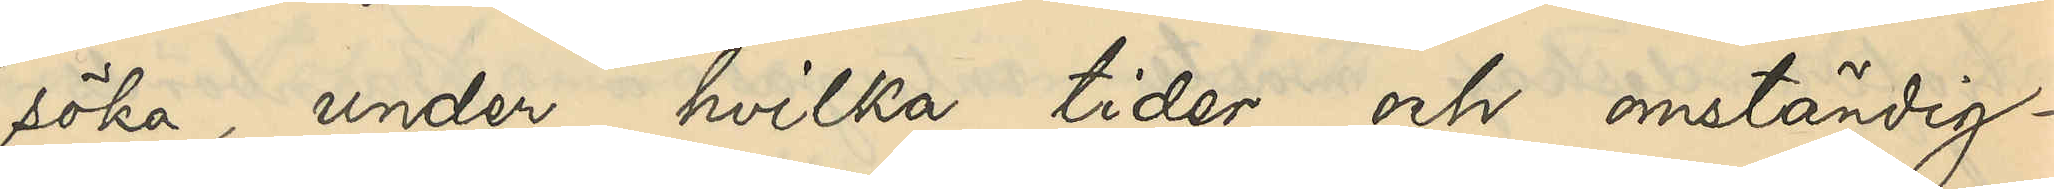söka, under hvilka tider och omständig¬
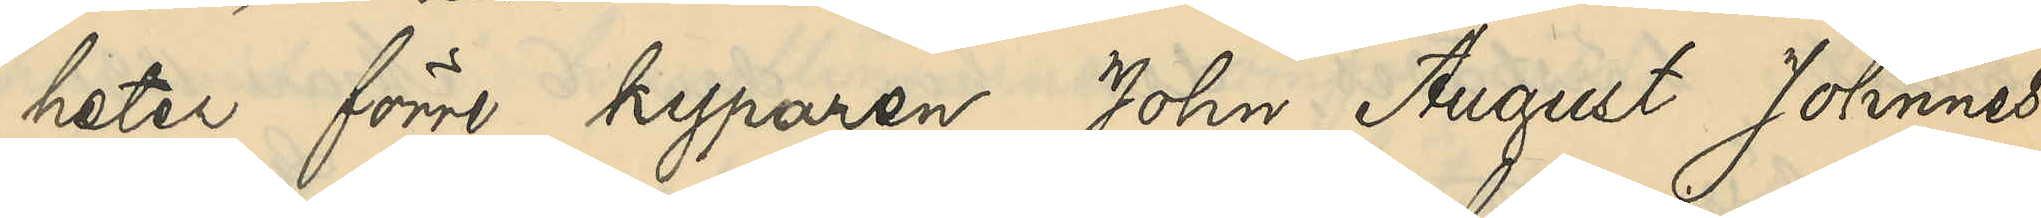heter förre kyparen John August Johnnes
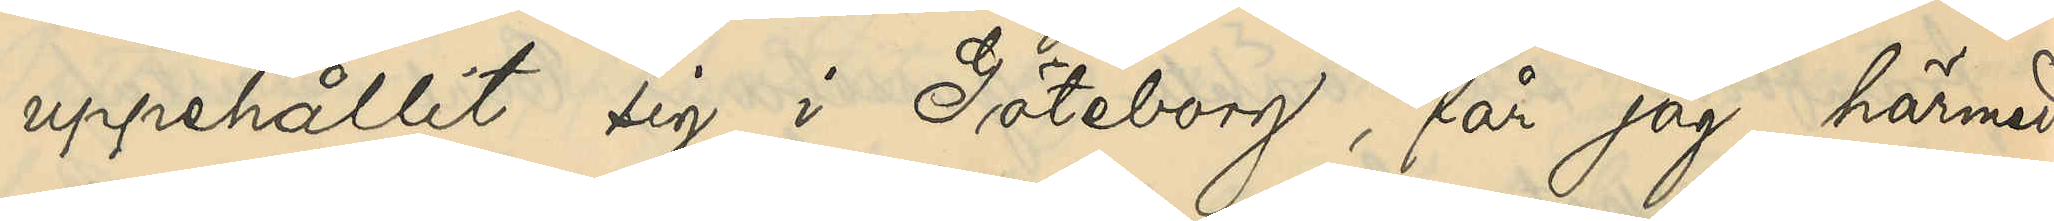uppehållit sig i Göteborg, får jag härmed
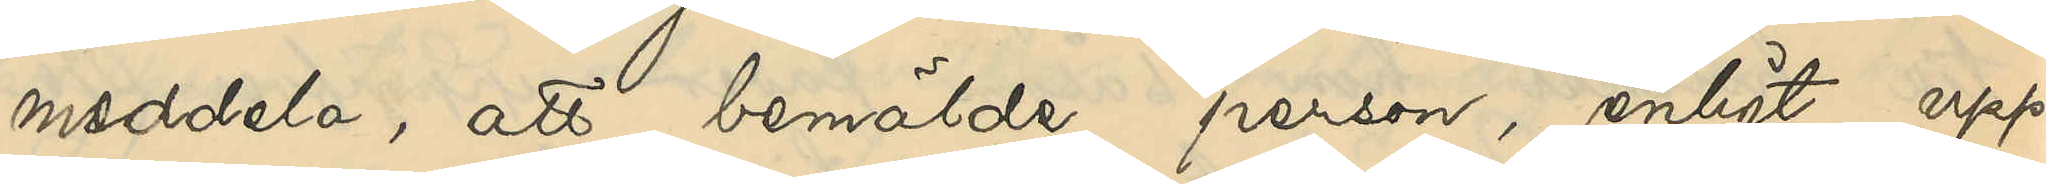meddela, att bemälde person, enligt upp¬
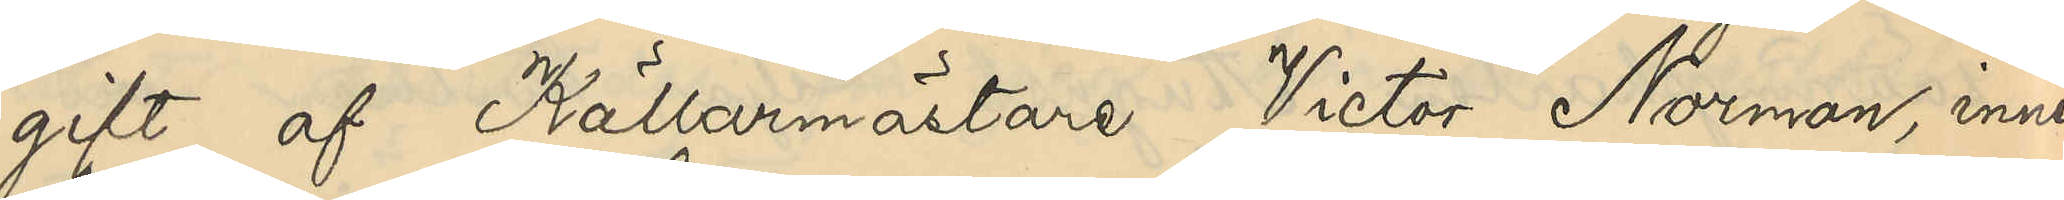gift af Källarmästare Victor Norman, inne¬
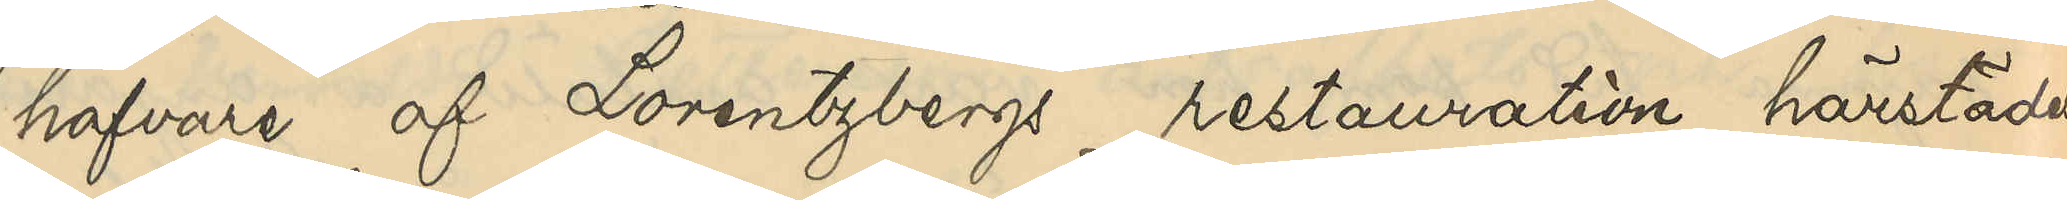hafvare af Lorentzbergs restauration härstädes
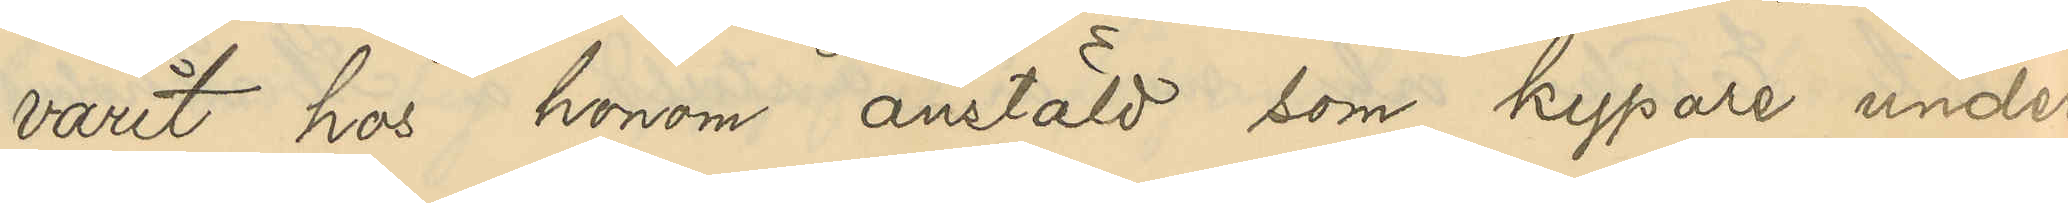varit hos honom anstäld som kypare under
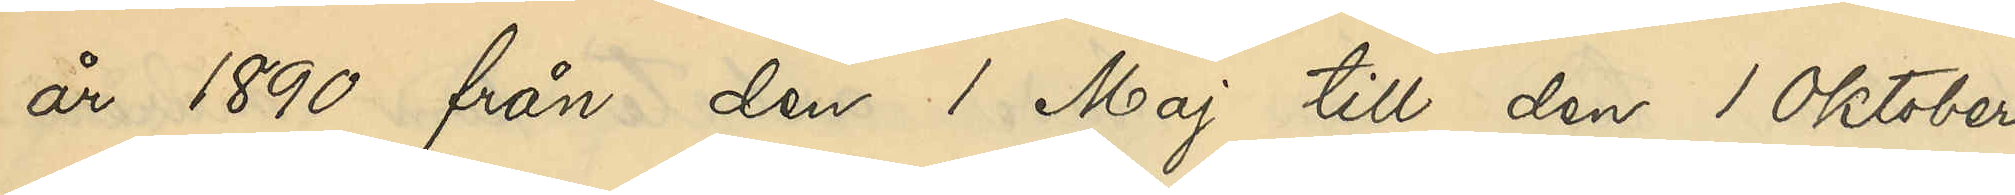år 1890 från den 1 Maj till den 1 Oktober
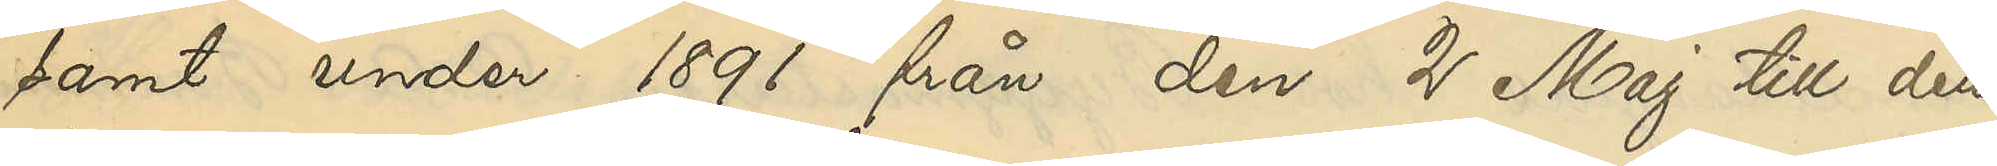samt under 1891 från den 2 Maj till den
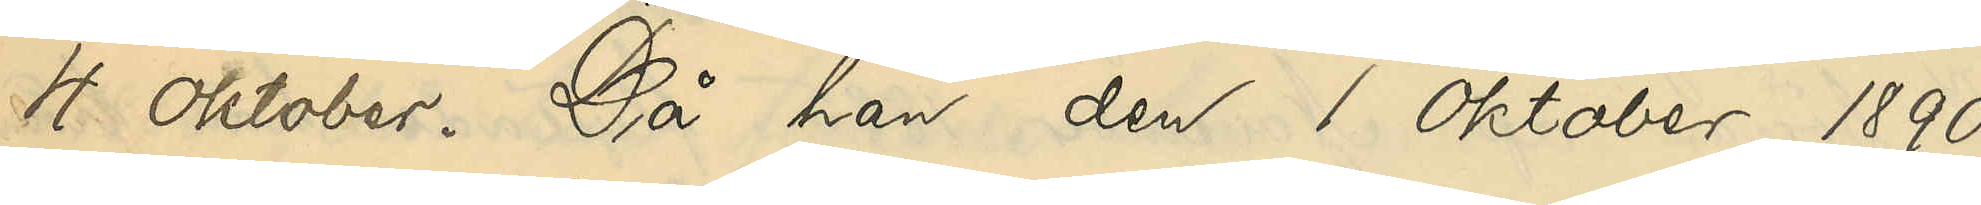4 Oktober. Då han den 1 Oktober 1890
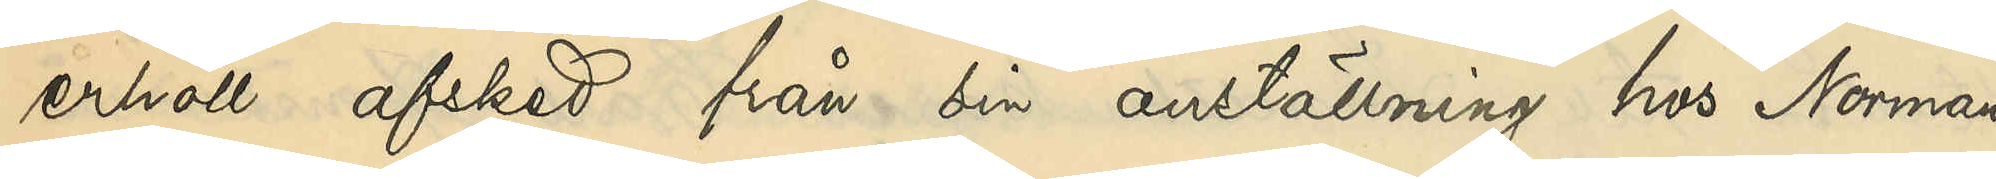erhöll afsked från sin anställning hos Norman
